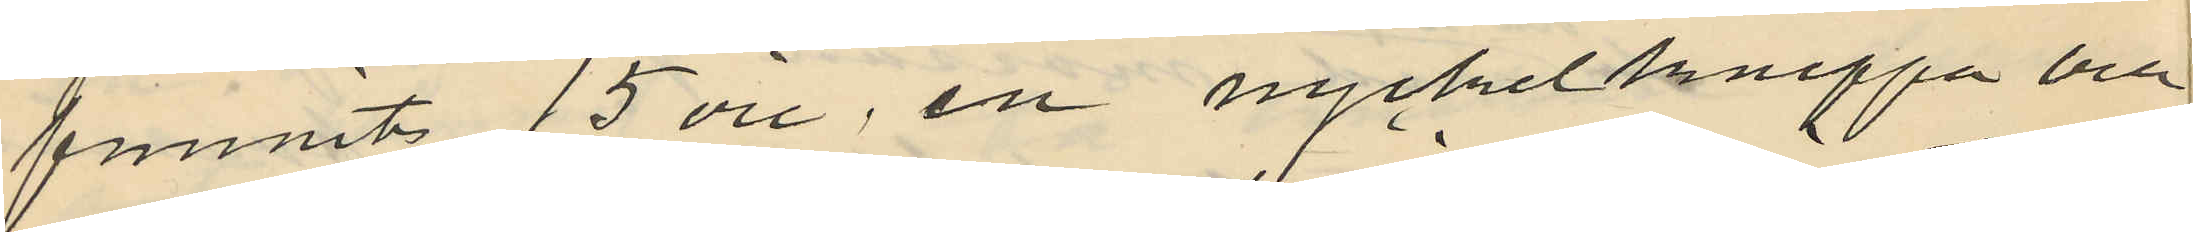funnits 15 öre, en nyckelknippa och
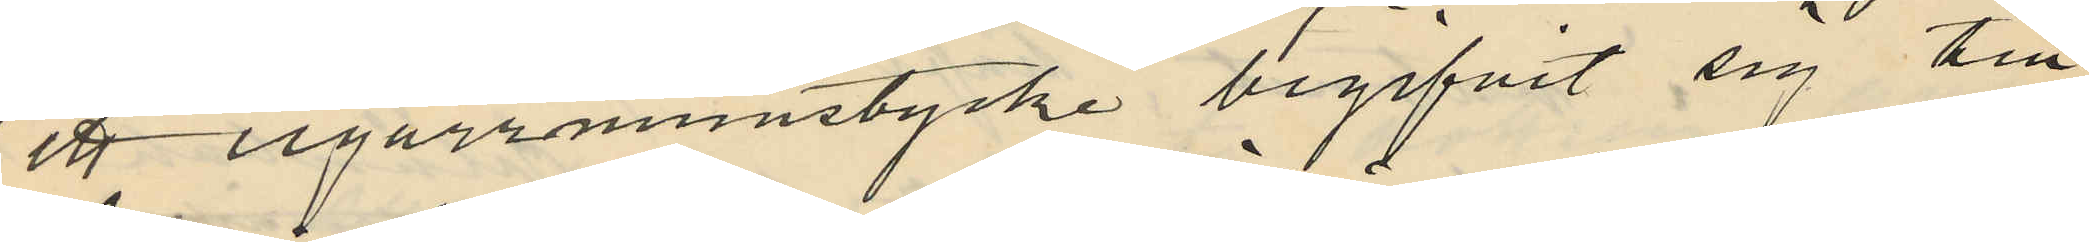ett cigarrmunstycke begifvit sig till
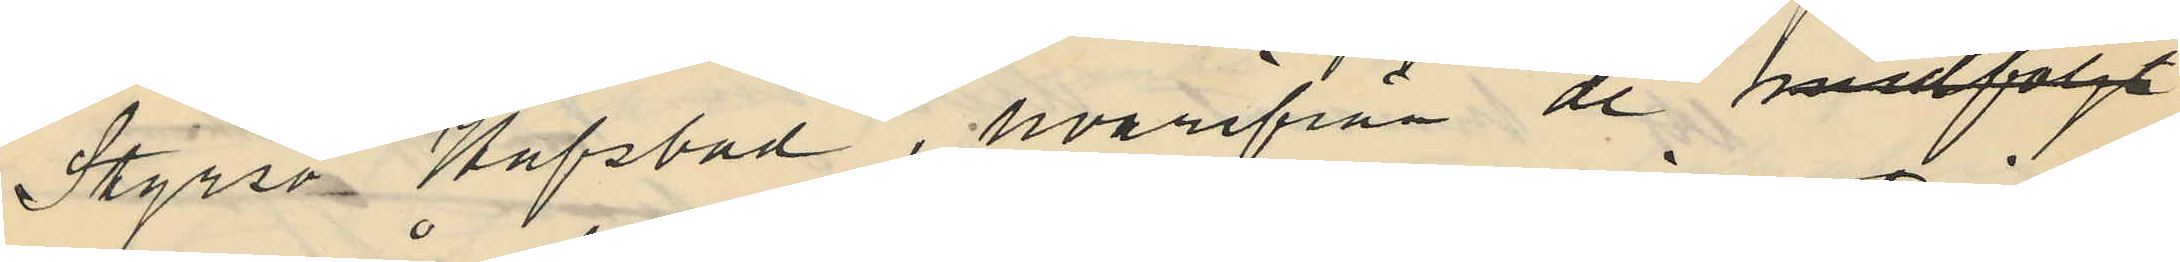Styrsö Hafsbad, hvarifrån de medföljt
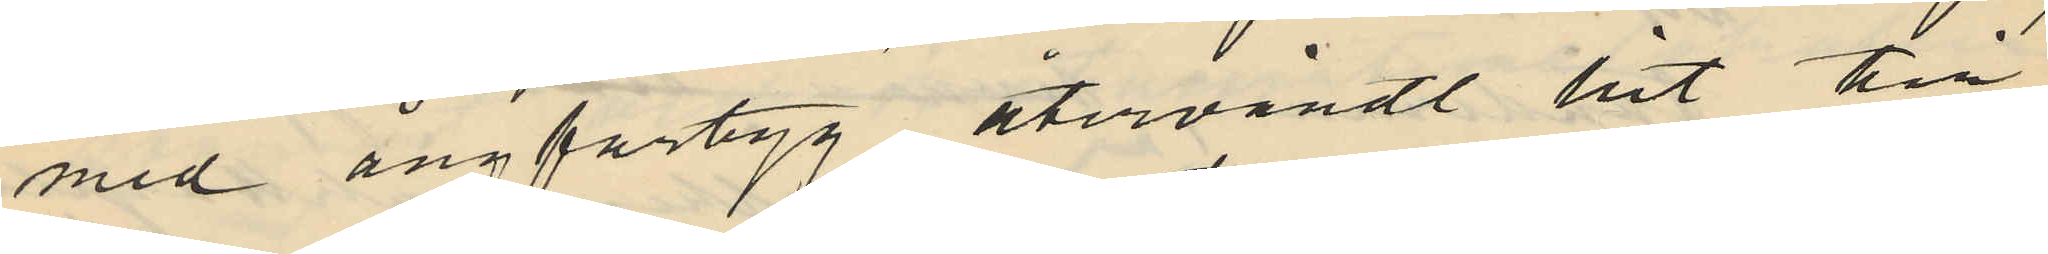med ångfartyg återvändt hit till
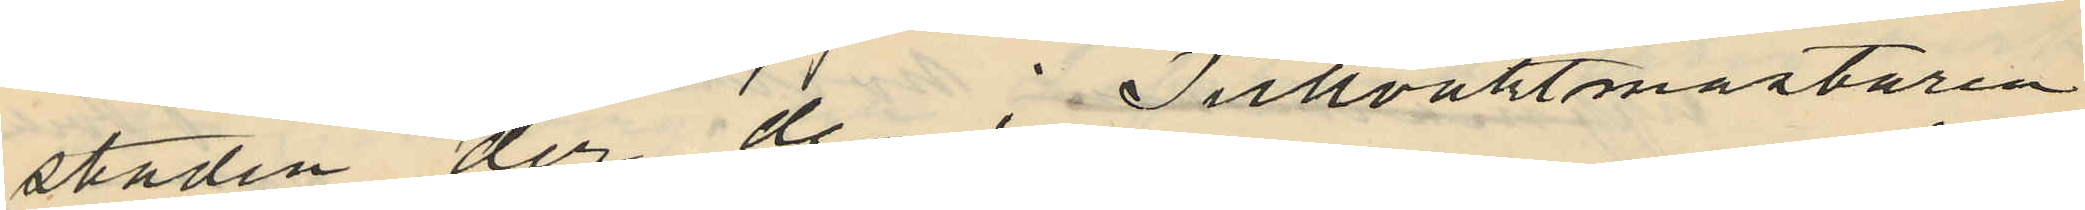staden der de i Tullvaktmästaren
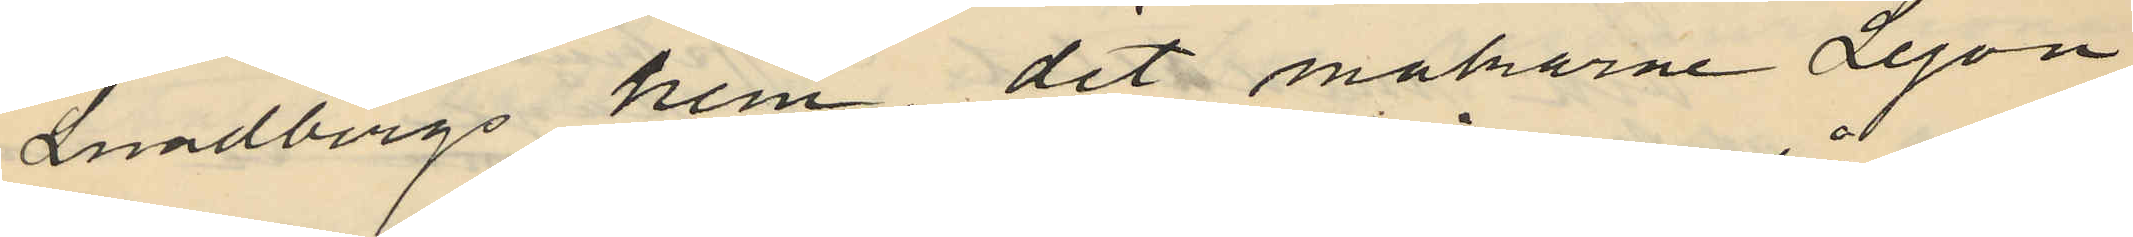Lundbergs hem, dit makarne Lejon
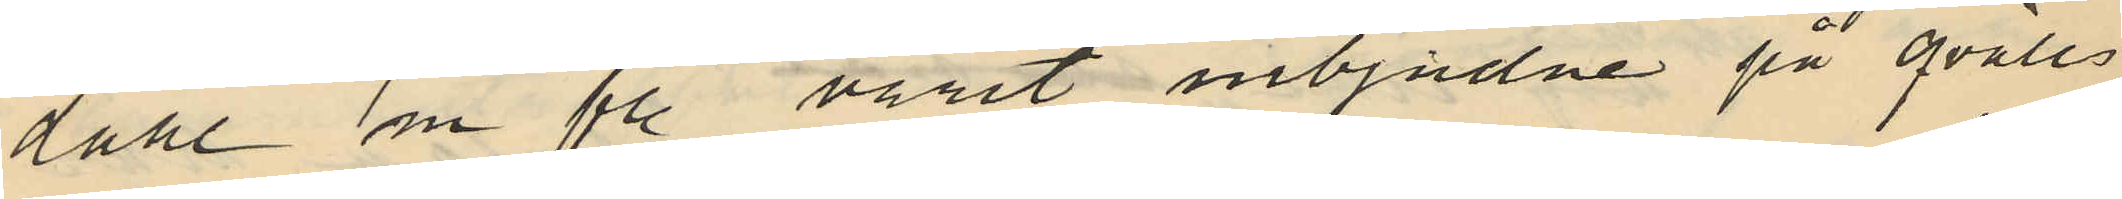dahl m fl. varit inbjädne på qvälls
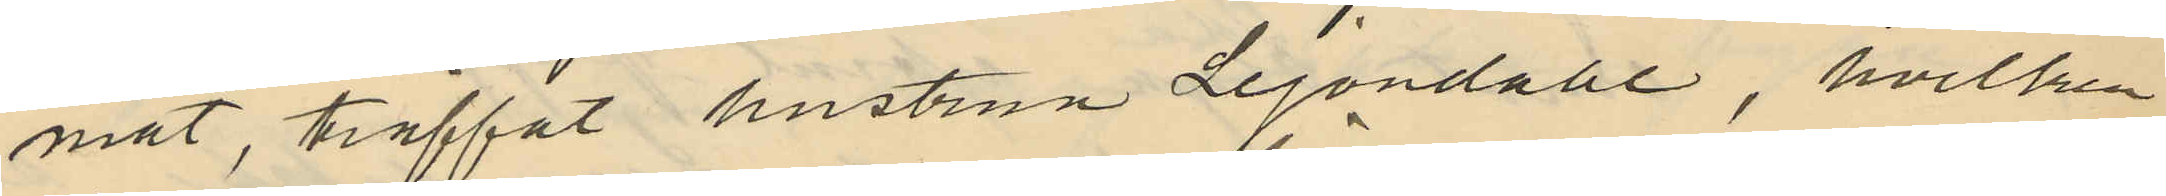mat, träffat hustrun Lejondahl, hvilken
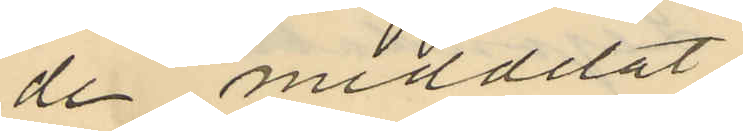de meddelat
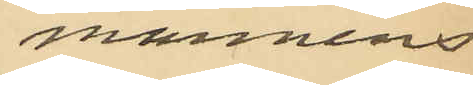mannens
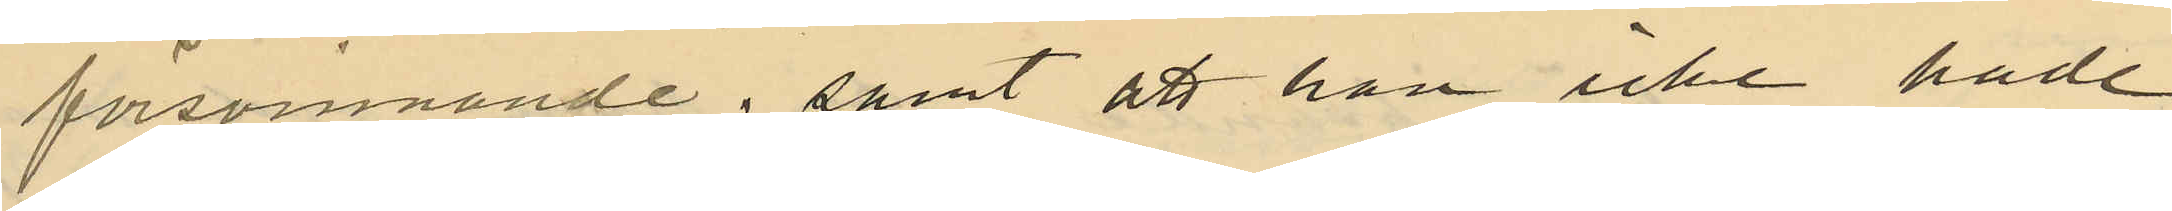försvinnande; samt att hon icke hade
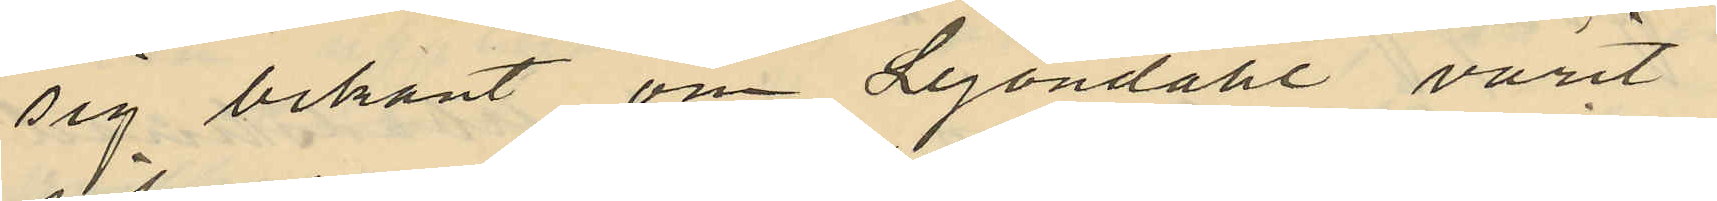sig bekant om Lejondahl varit
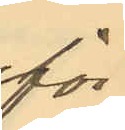för
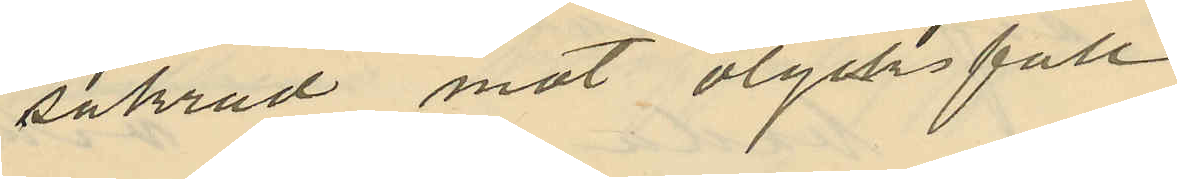säkrad mot olycksfall
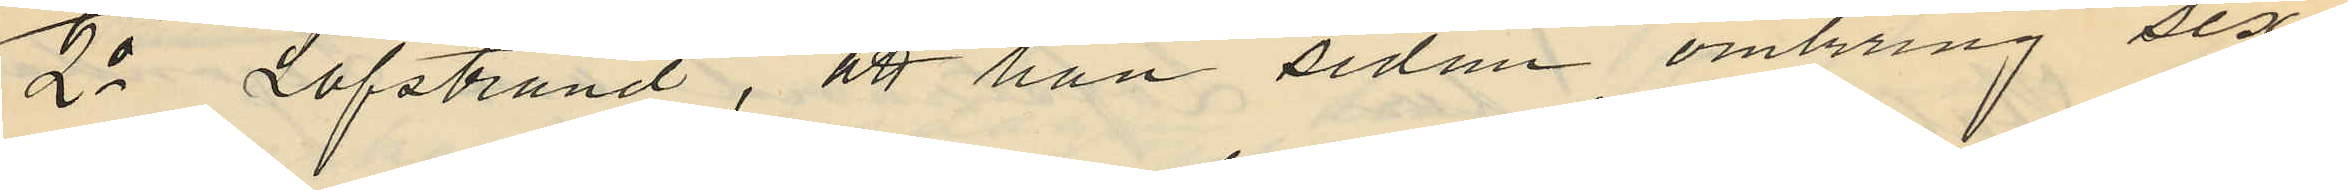2o Löfstrand, att han sedan omkring sex
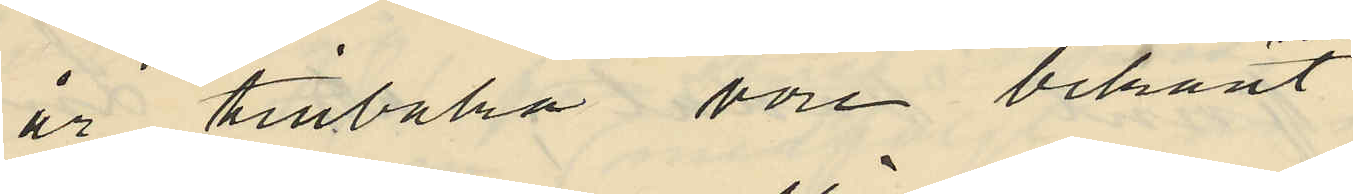år tillbaka vore bekant
